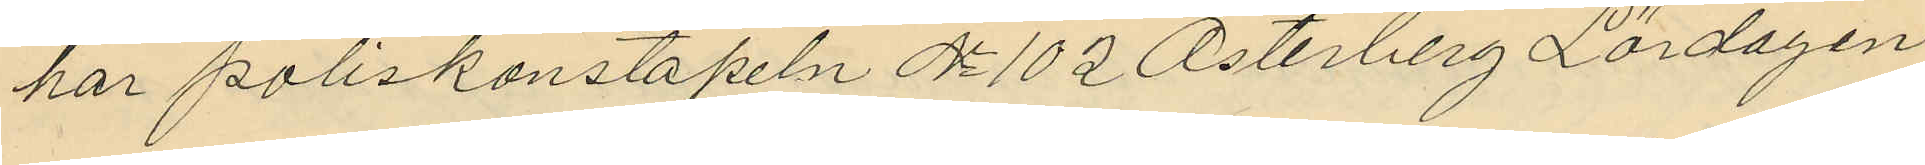har poliskonstapeln No 102 Österberg Lördagen
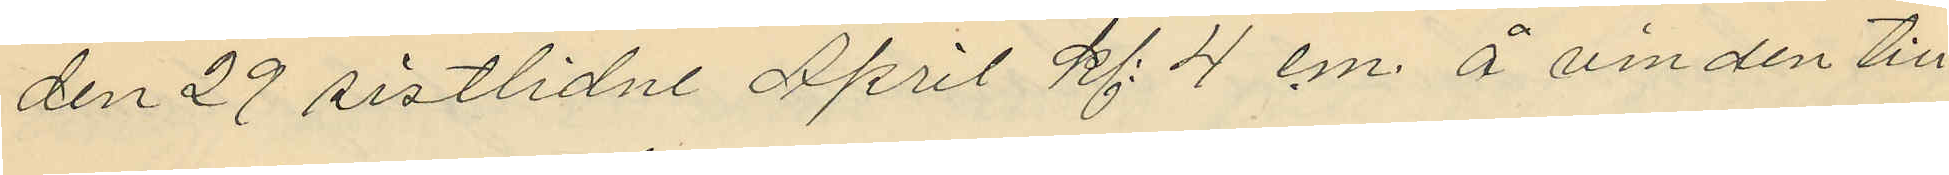den 29 sistlidne April kl: 4 em. å vinden till
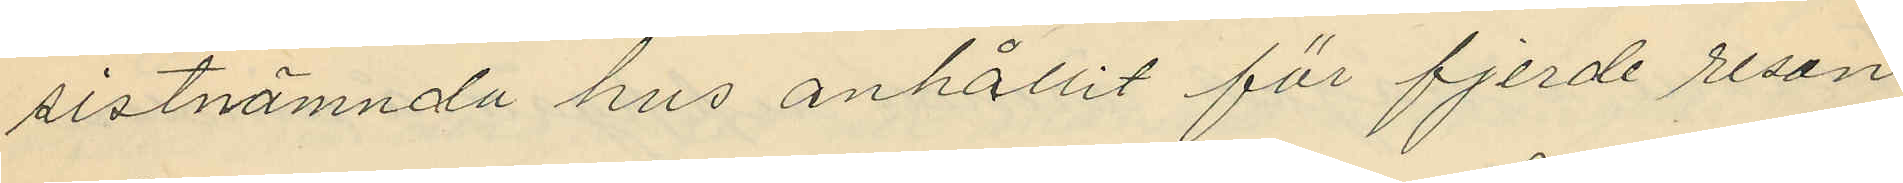sistnämnda hus anhållit för fjerde resan
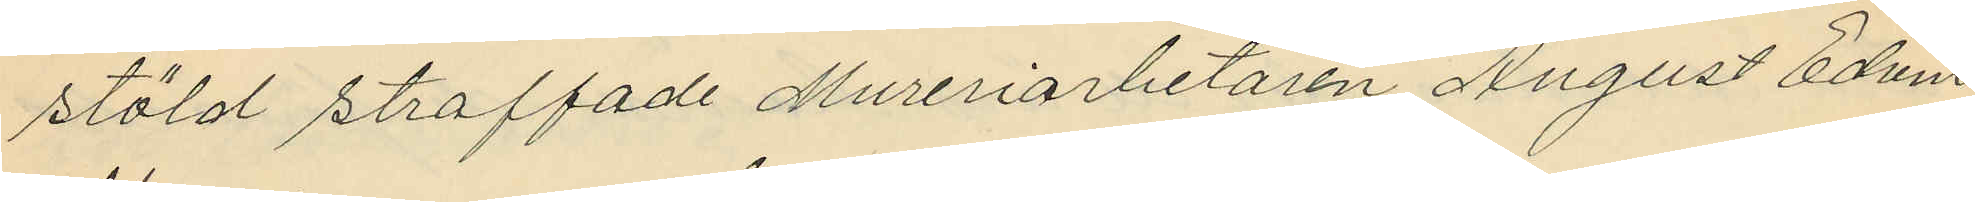stöld straffade Mureriarbetaren August Edvin
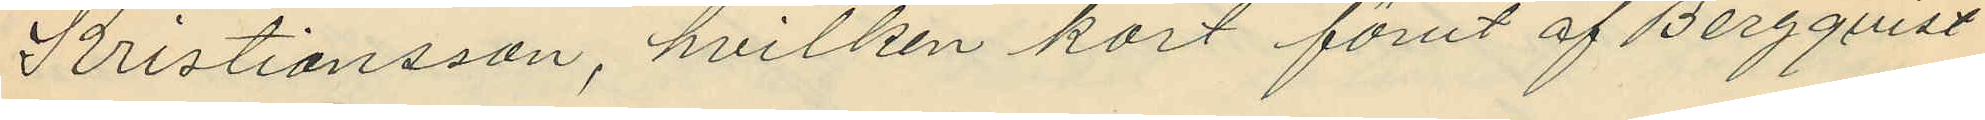Kristiansson, hvilken kort förut af Bergqvist
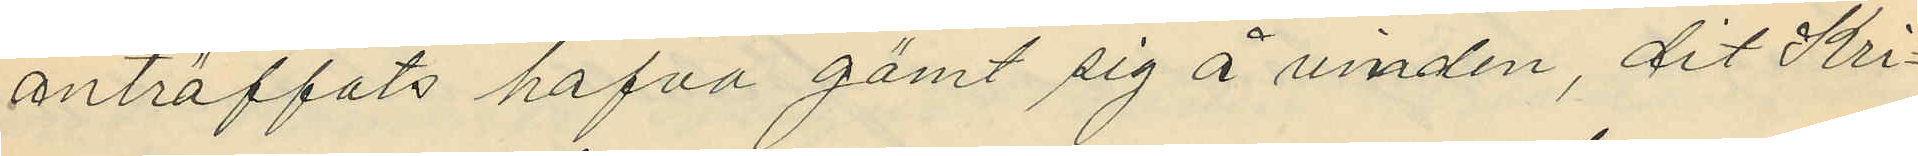anträffats hafva gömt sig å vinden, dit Kri¬
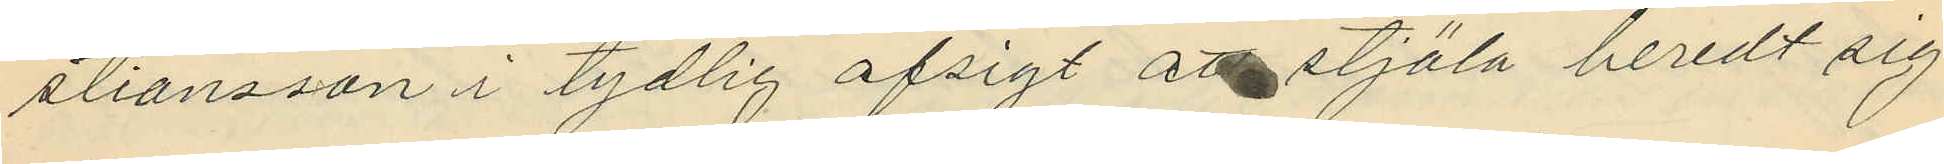stiansson i tydlig afsigt att stjäla beredt sig
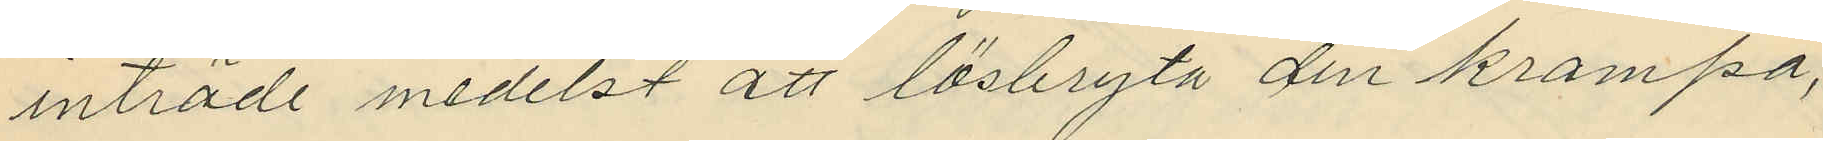inträde medelst att lösbryta den krampa,
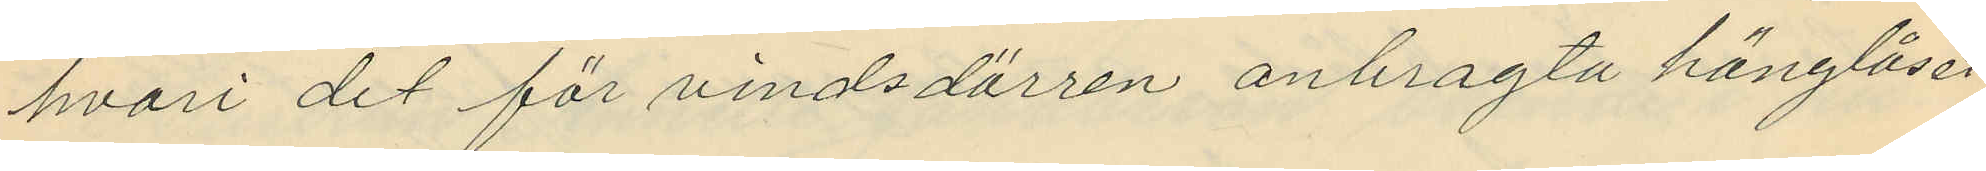hvari det för vindsdörren anbragta hänglåset
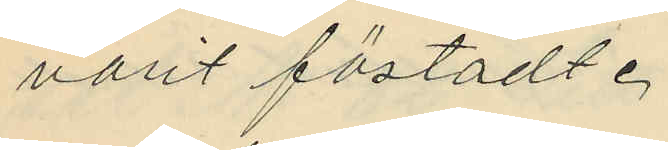varit fästadt.
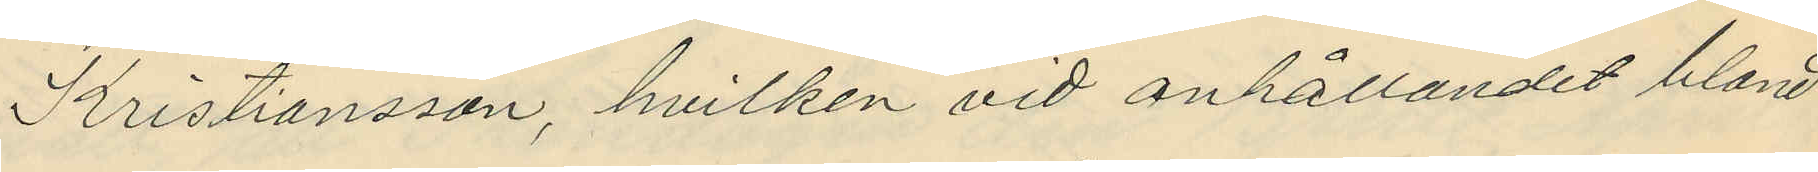Kristiansson, hvilken vid anhållandet bland
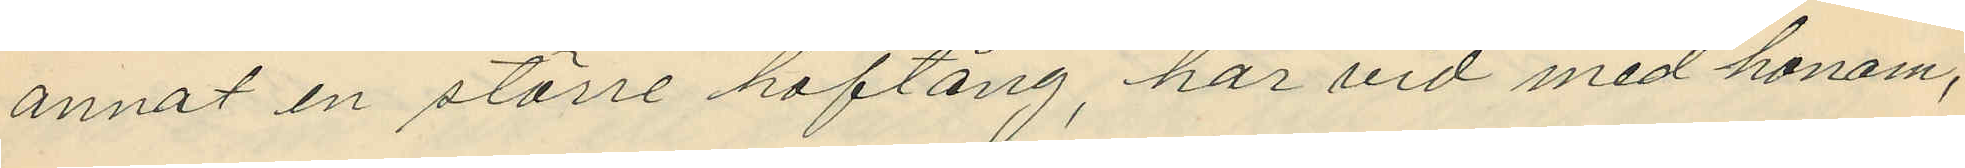annat en större hoftång, har vid med honom,
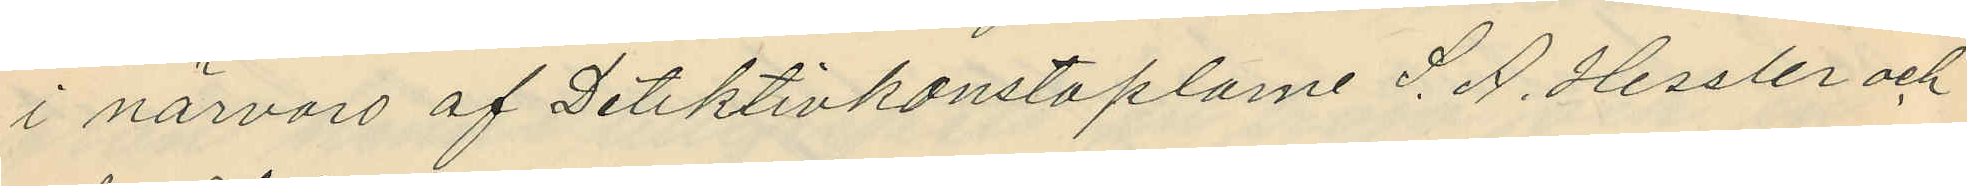i närvaro af Detektivkonstaplarne S. A. Hessler och
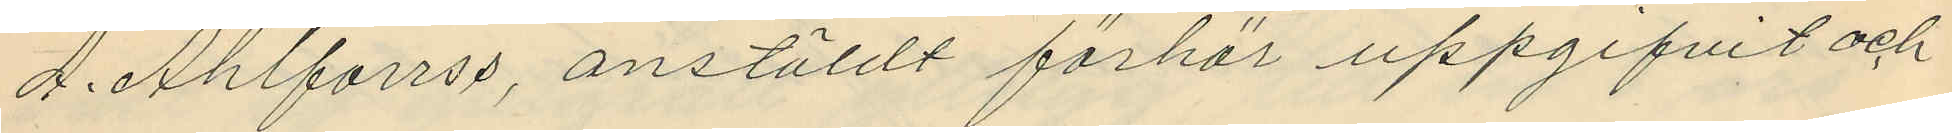A. Ahlforrss, anstäldt förhör uppgifvit och
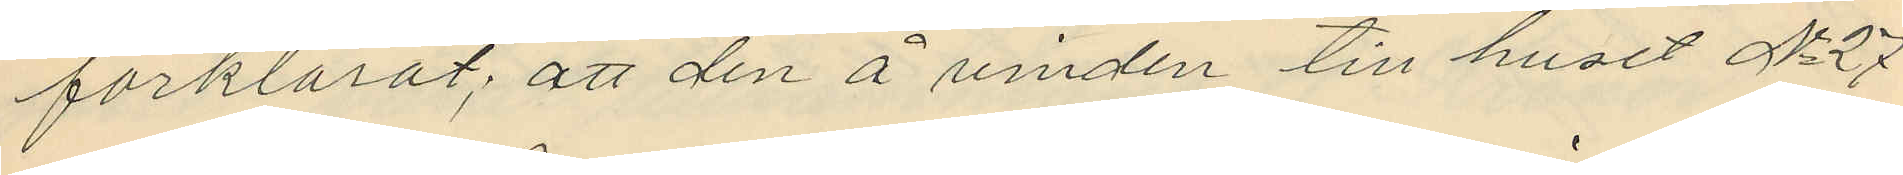förklarat; att den å vinden till huset No 27
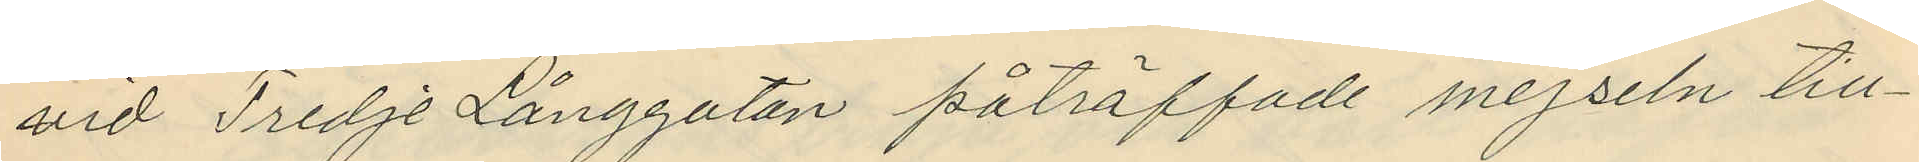vid Tredje Långgatan påträffade mejseln till¬
